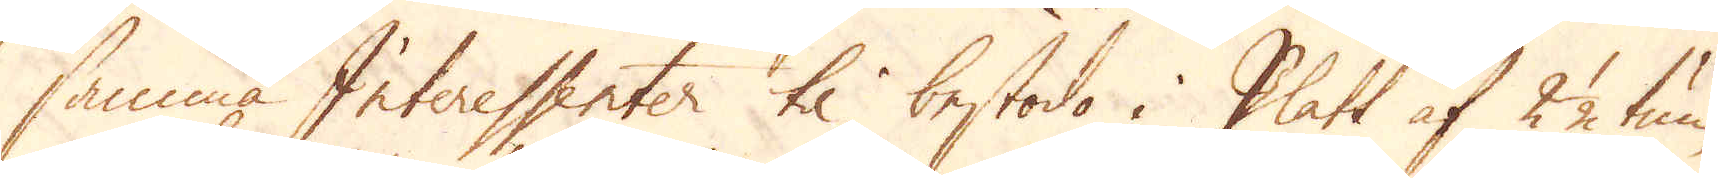samma Interessenter til bestodo i Platt af 2 1/2 tum
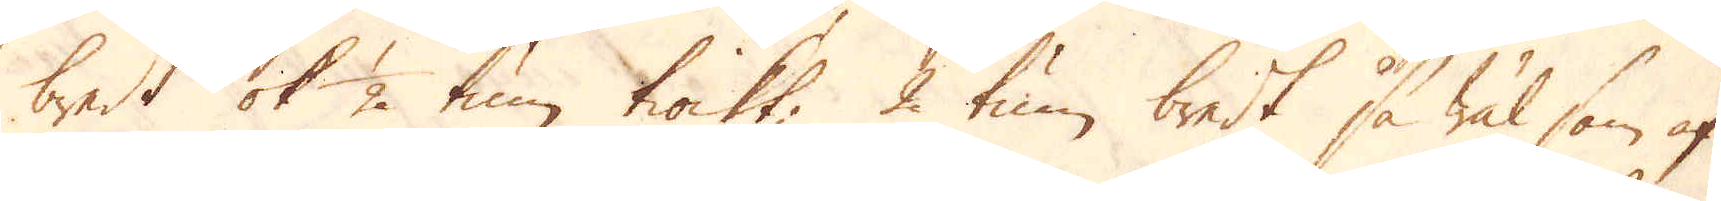bredt ok 1/2 tum tiockt, 2 tum bredt så wäl som af
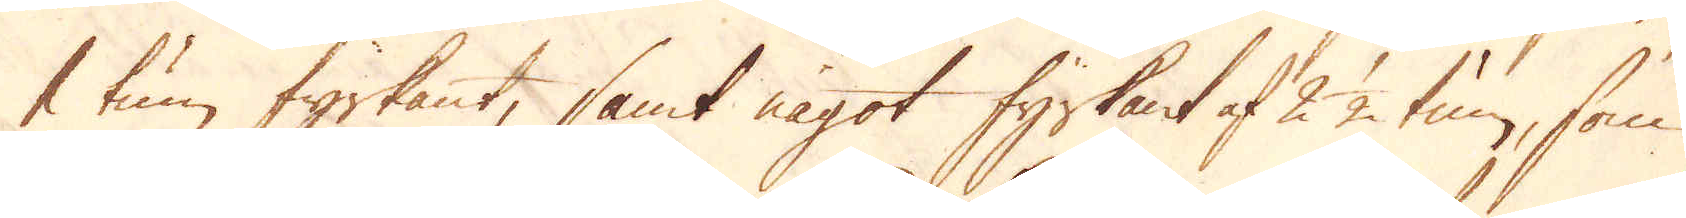1 tum fyrkant; samt något fyrkant af 2 1/2 tum, som
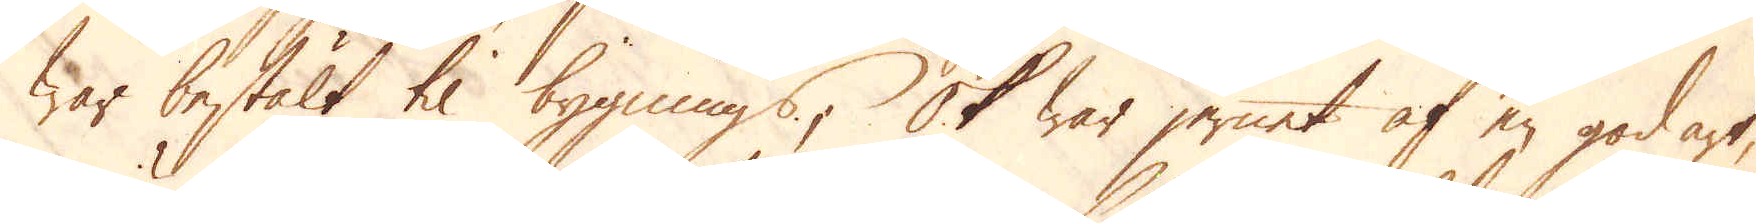war bestält til bygnings; Ok war jernet af en god art,
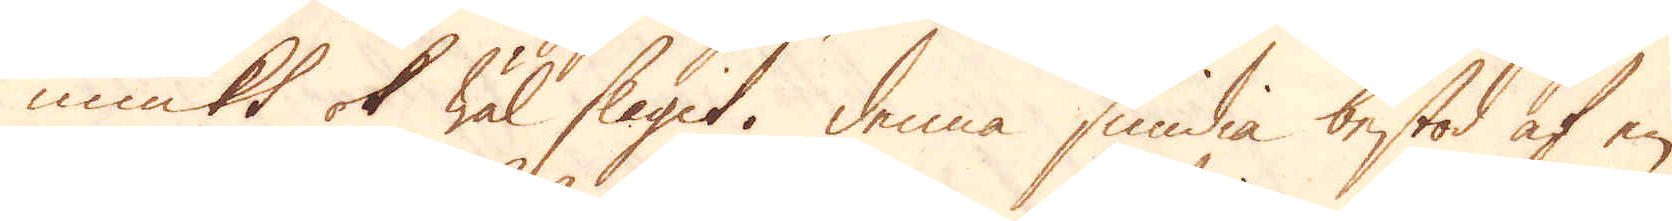miukt ok wäl slagit. Denna smidia bestod af en
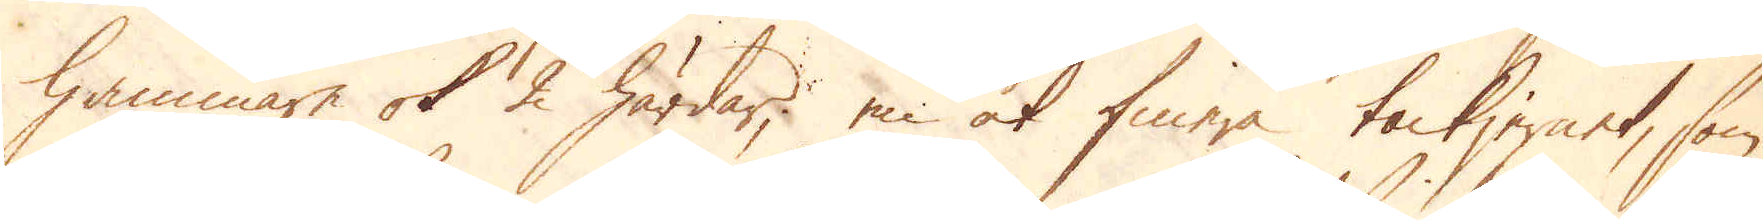hammare ok 2 härdar; en at finera tackjernet, som
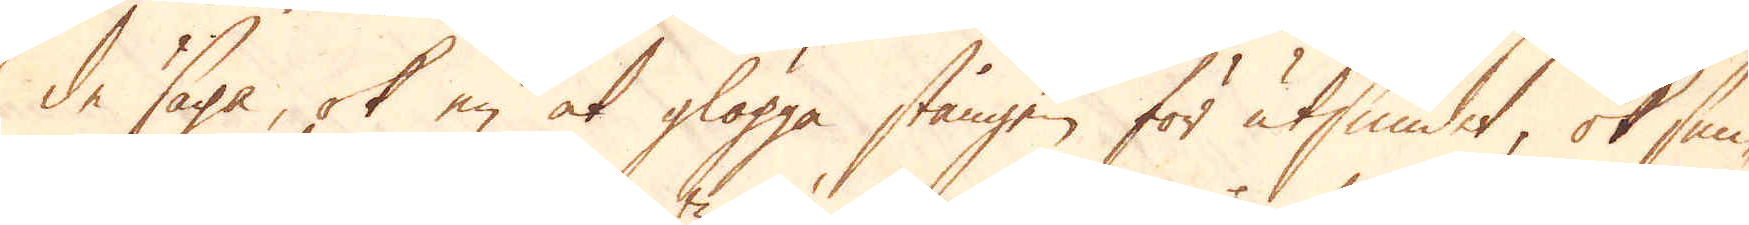de säga, ok en at glögga stången för utsmidet, ok smi-
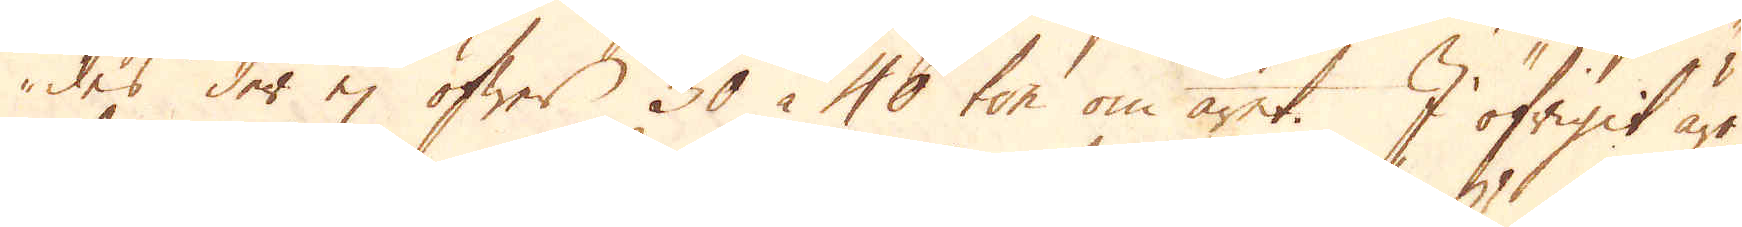des der ej öfwer 30 à 40 ton om året. I öfrigit äro
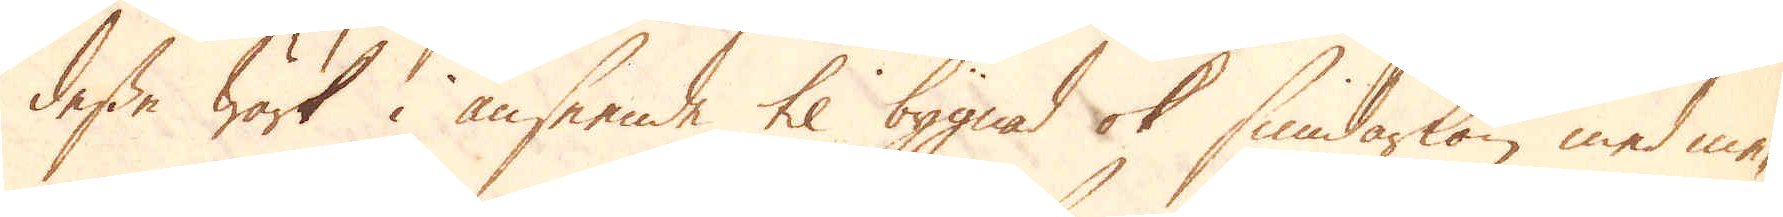desse wärk i anseende til bygnad ok smidarlön med mer-
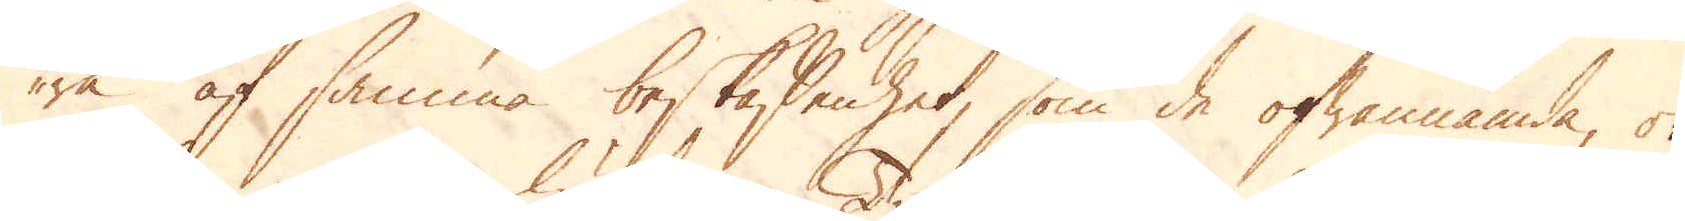ra af samma beskaffenhet, som de ofwannämda, ok
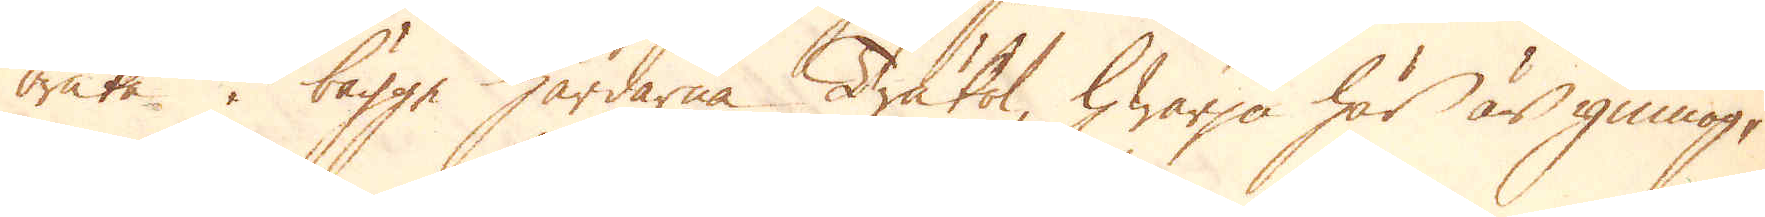bruka. i bägge härdarna Träkol, hwarpå här är ymnog-
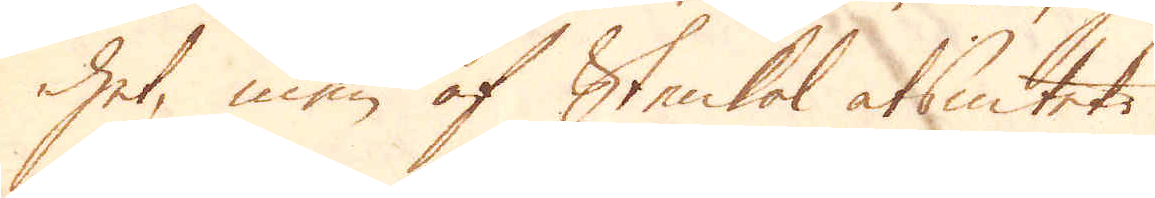het, men af Stenkol alsintet.
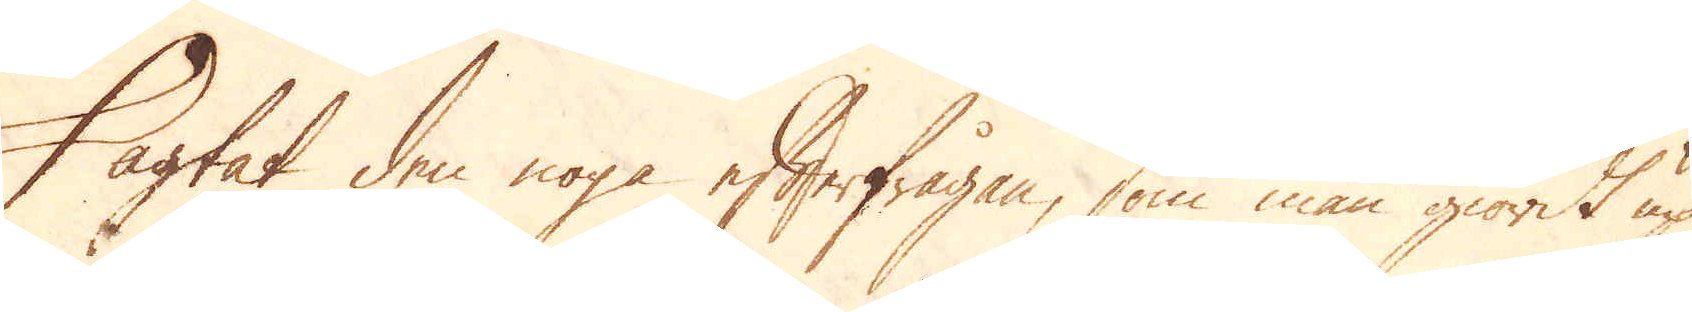I agtat den noga efterfrågen, som man giordt up
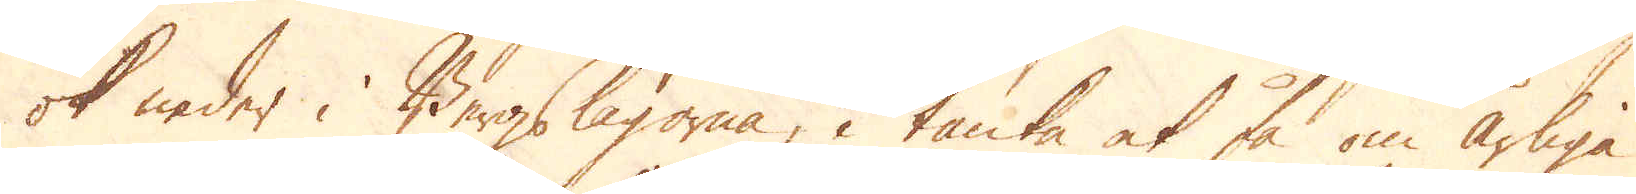ok neder i Bergslagorna, i tanke at få om årliga
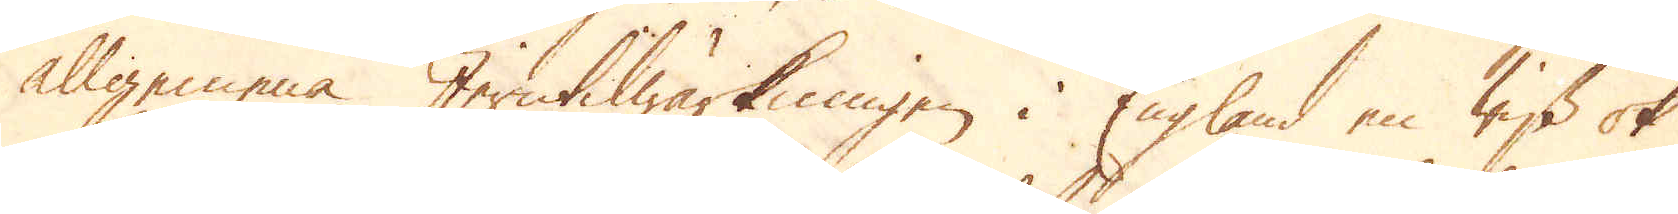allgemena Jerntilwärkningen i England en wiss ok
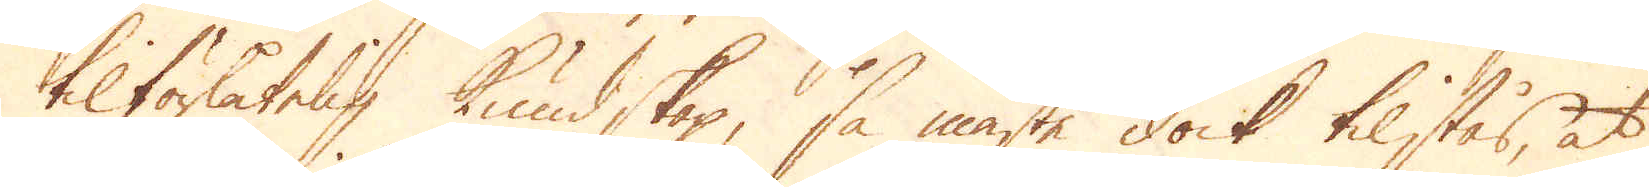tilförlåtelig kundskap, så måste dock tilstås, at
